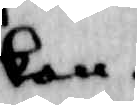kan.
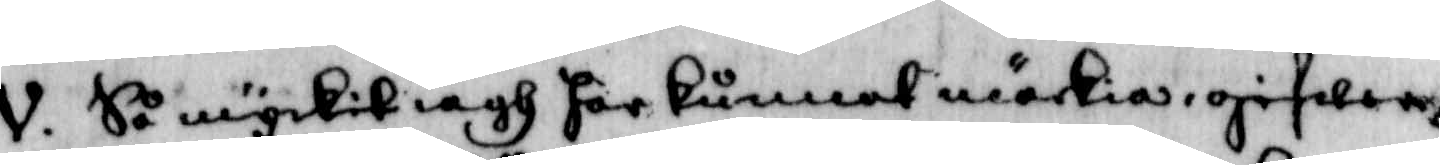V. Så myckit iagh iagh här kunnat märkia, gifwer
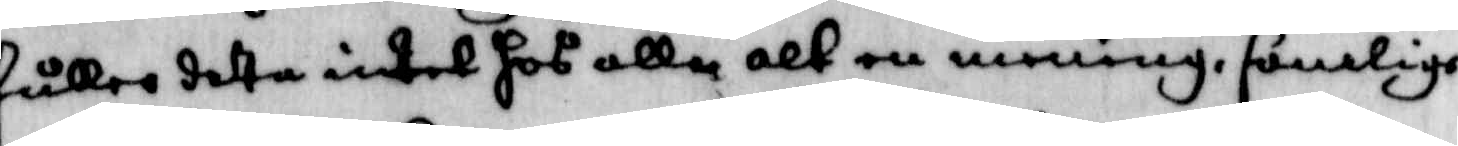fuller detta intet hos alle alt en mening, somlige
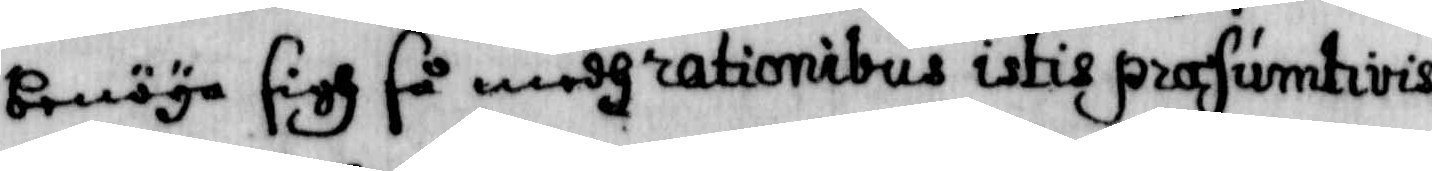benöya sigh så medh rationibus itis prasumtivis
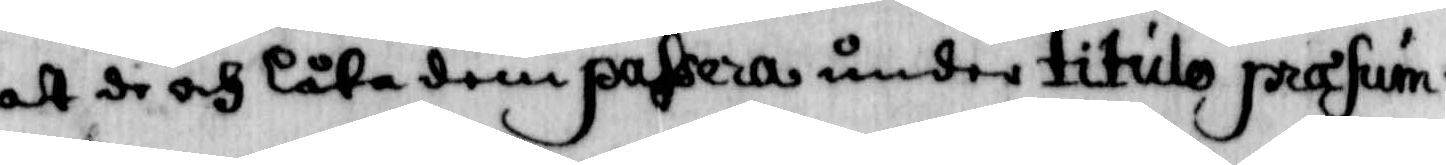at de och låta dem passwra under titulo prasum¬
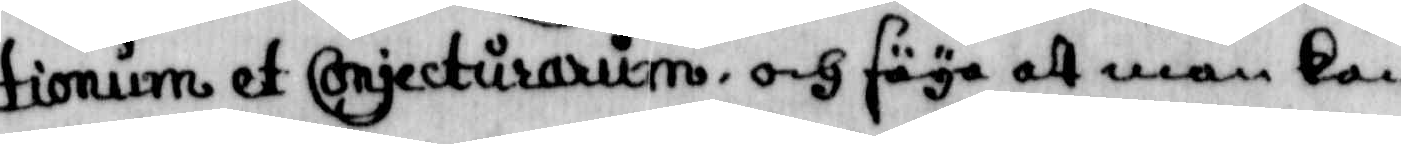tionum et conjecturarum, och säya att man kan
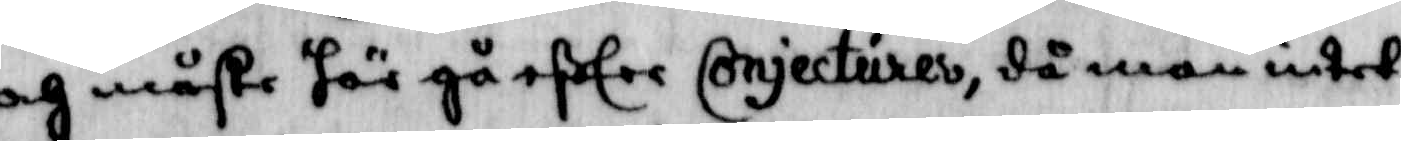och måste här gå efter conjecturer, då man intet
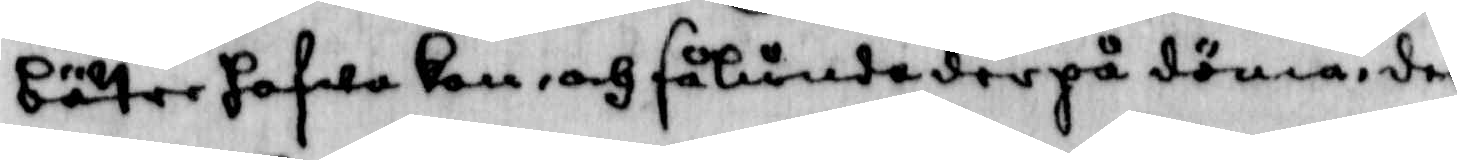bätre hafwa kan, och sålunda derpå döma der
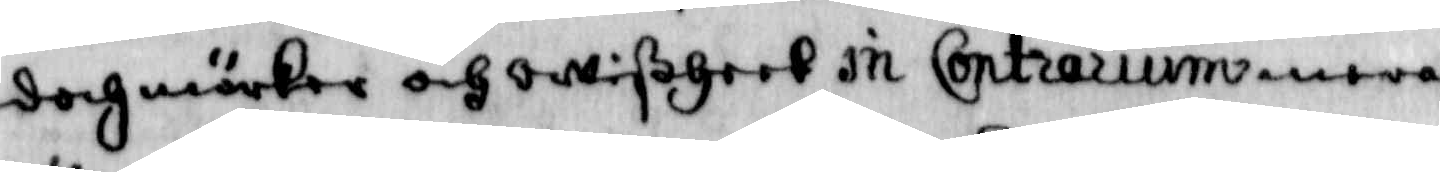doch märkes och owißheet in Contrsrium mera
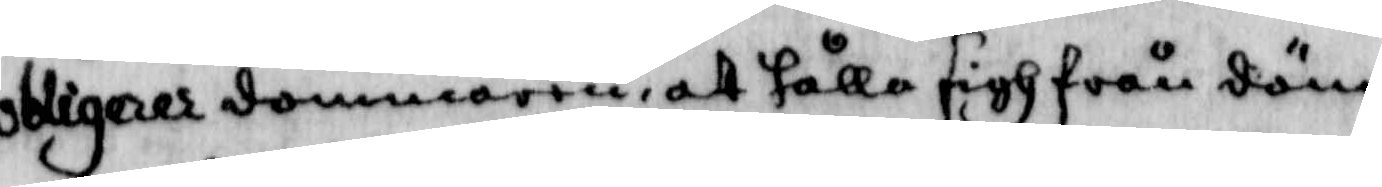obligerar dömmaren, att hålla sigh från döm¬
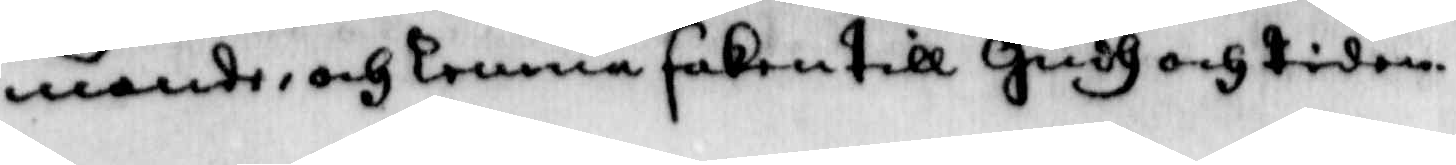mande, och tenna saken till Gudh och tiden
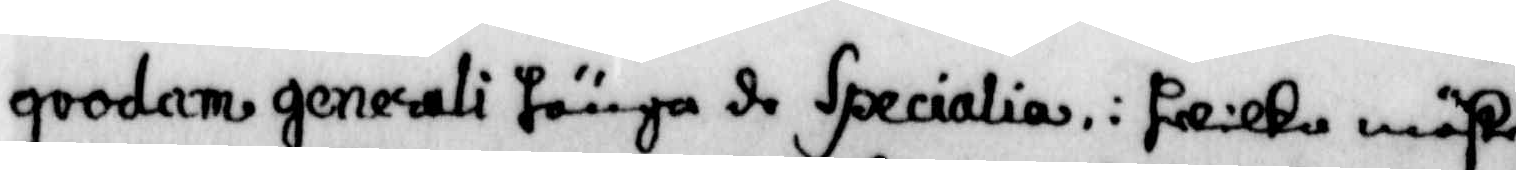qvodam genesali hänga de Specialia. i hwilka måste
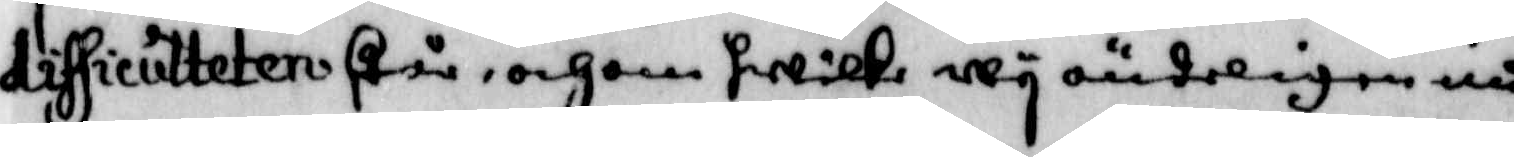difsiculteten står, och om hwilka wy oänderligen må¬
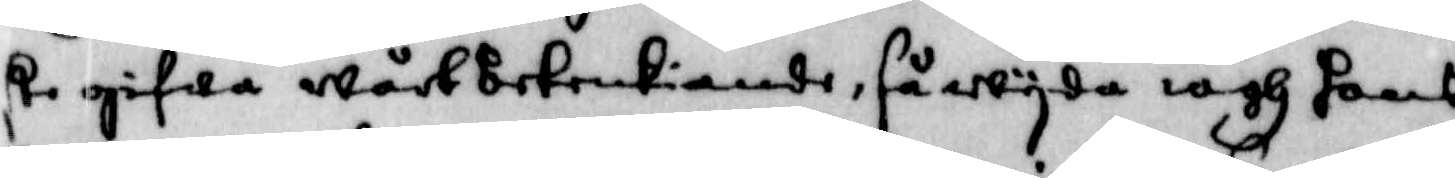ste gifwa wårt betenkiande, så wyda iagh hans
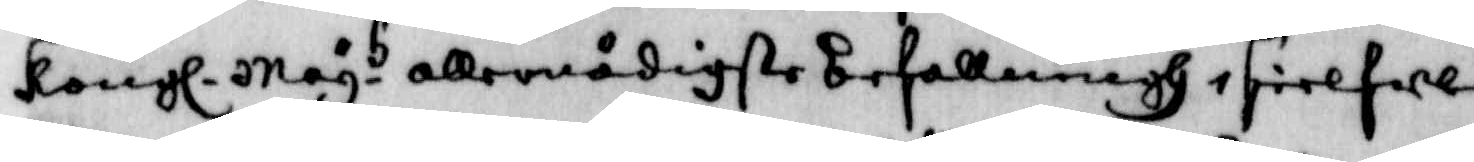Kongl. May.t allernådigste befallning i sielfwe
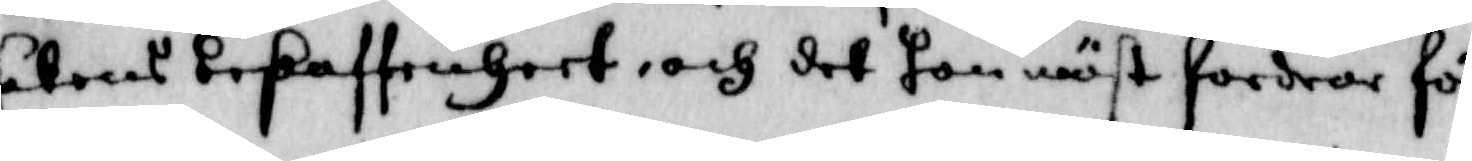sakens  beskaffenheet, och det hon mäst fordrar för¬
